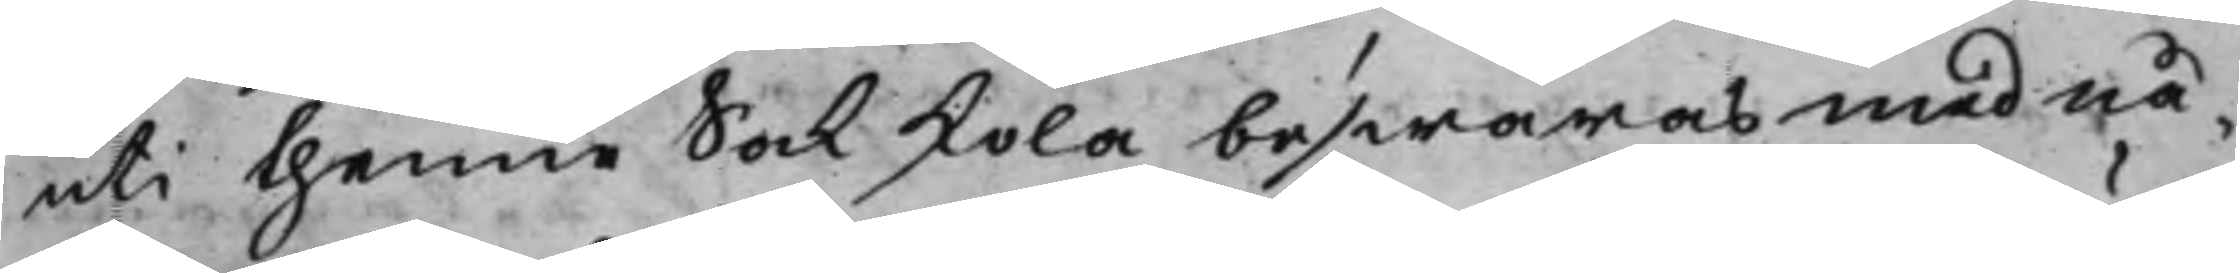uti thenne sak skola beswäras med nå¬
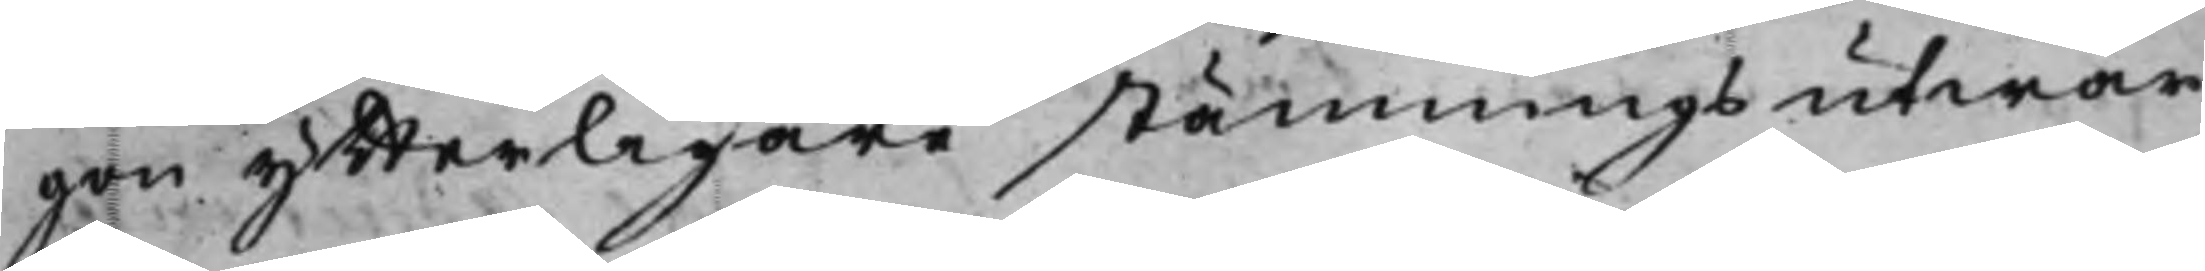gon ytterligare stämnings utwär¬
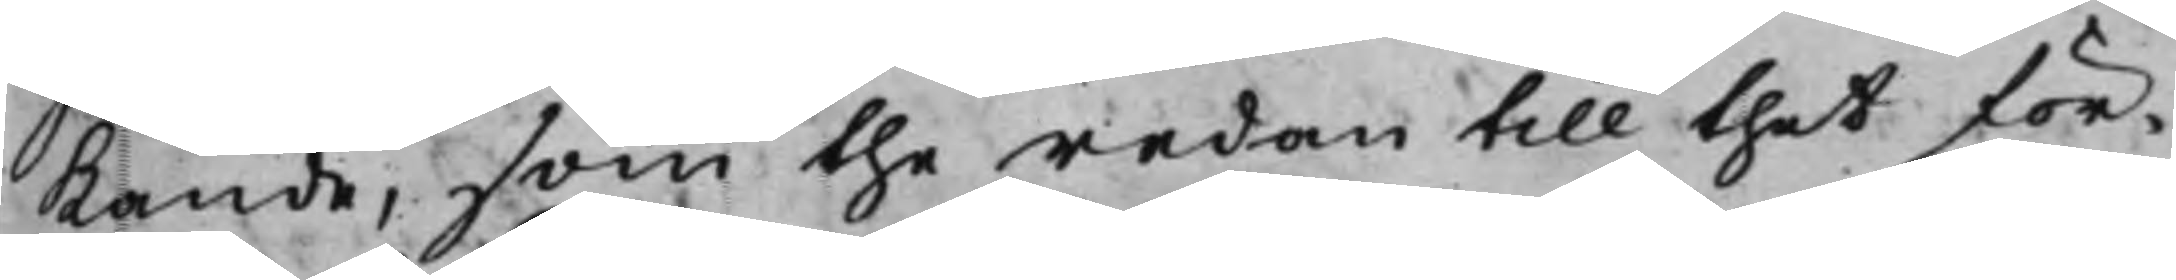kande, som the redan till thet för¬
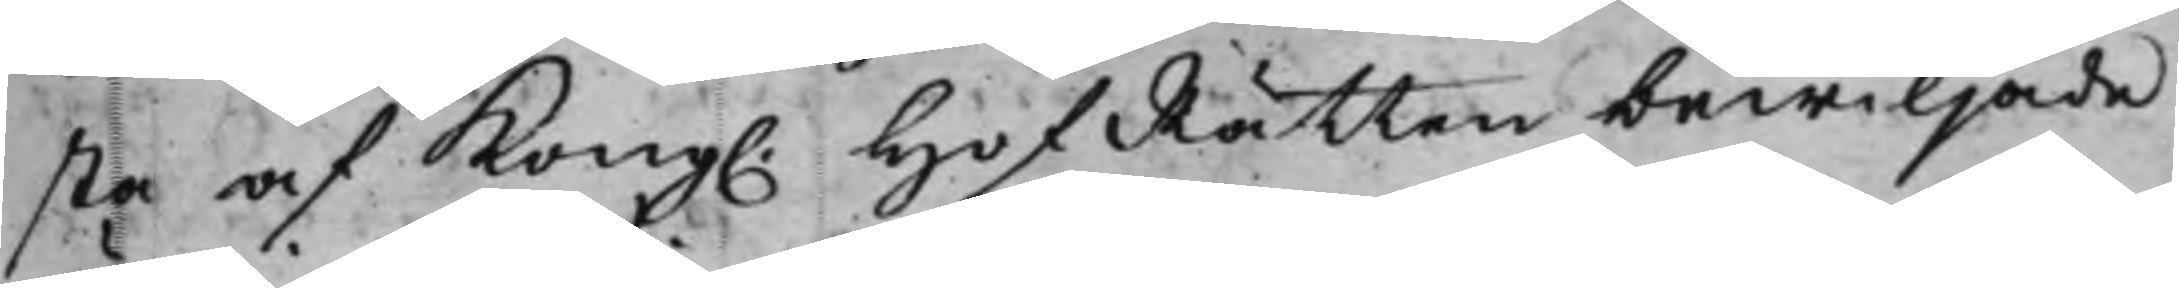sta af Kong. HofRätten bewiljade
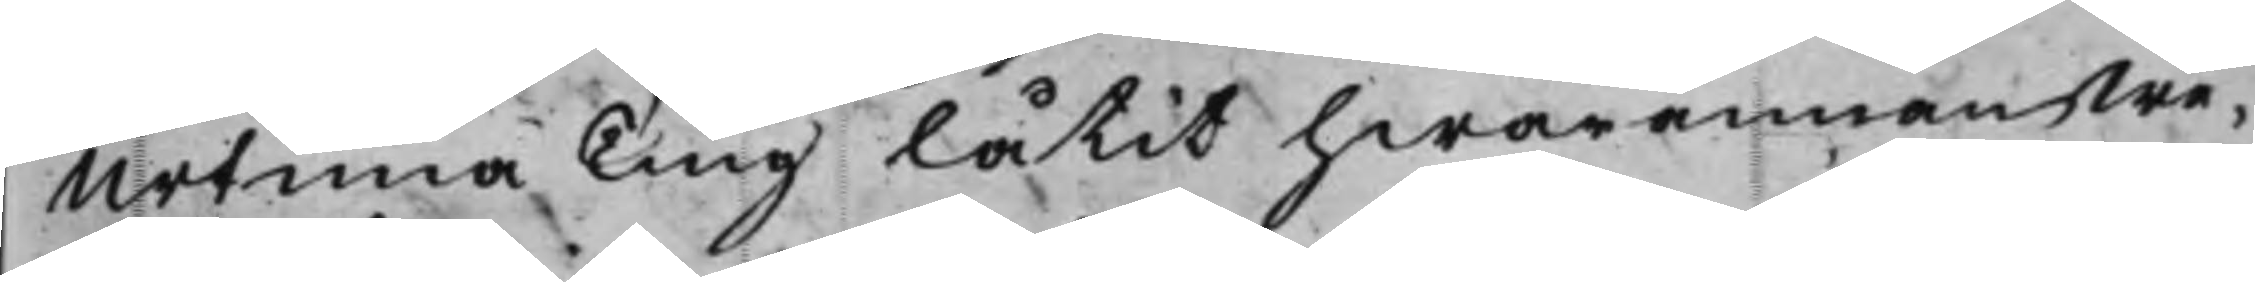Urtima Ting låtit hwarannan we¬
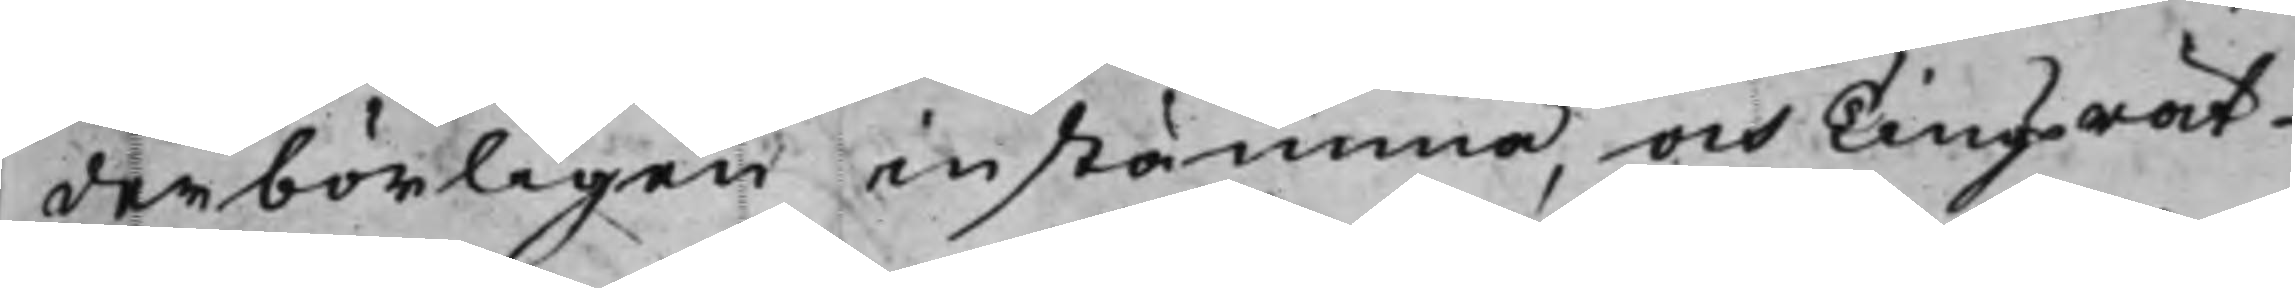derbörligen instämma, och Tingsrät¬
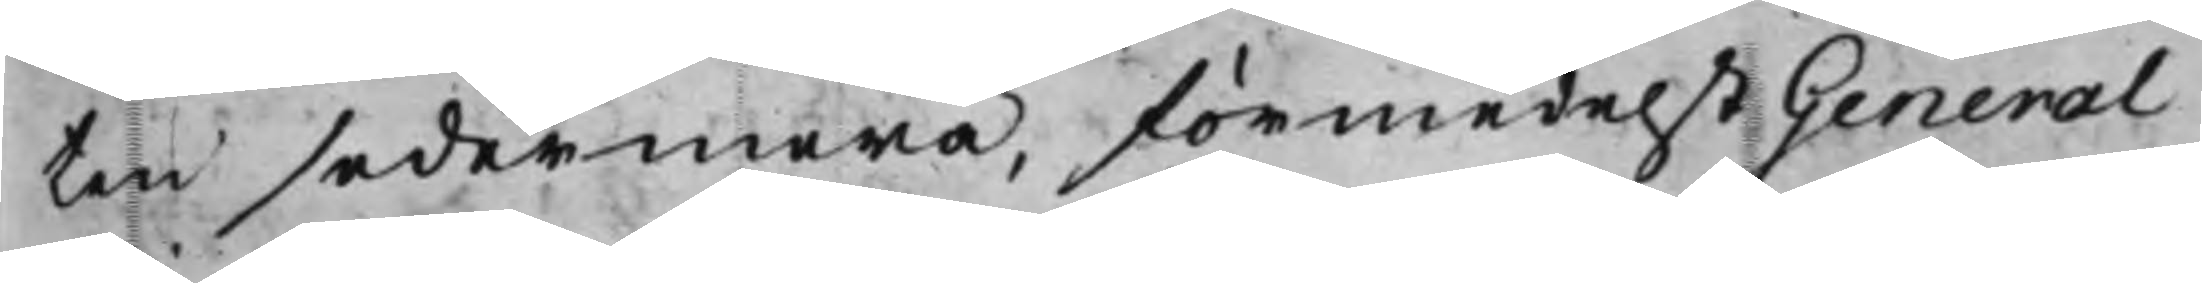ten sedermera, förmedelst General
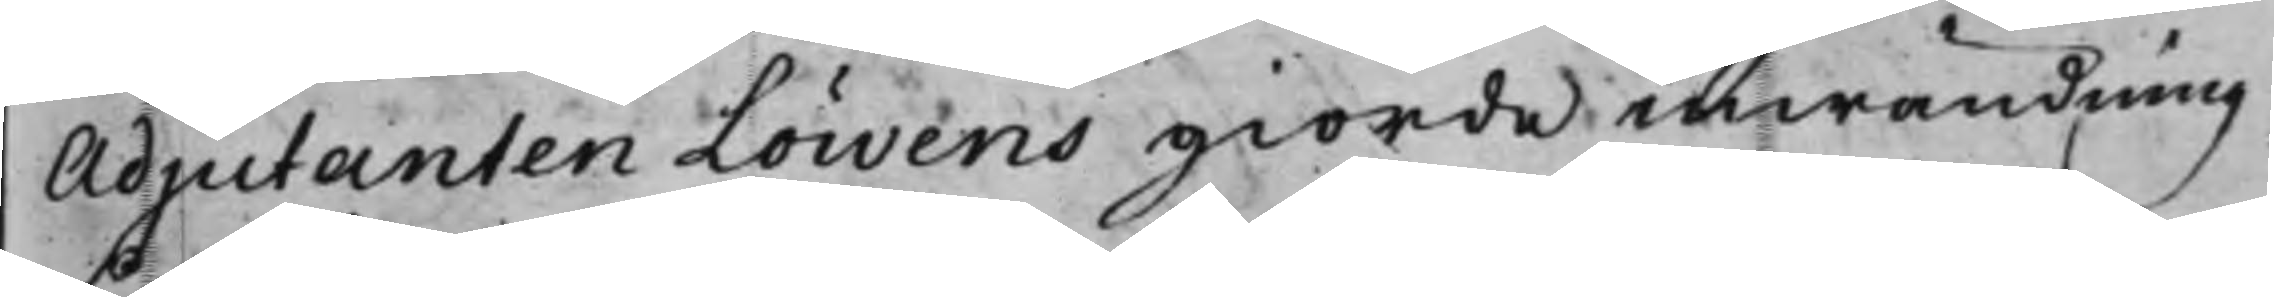Adjutanten Löwens giorde inwändning
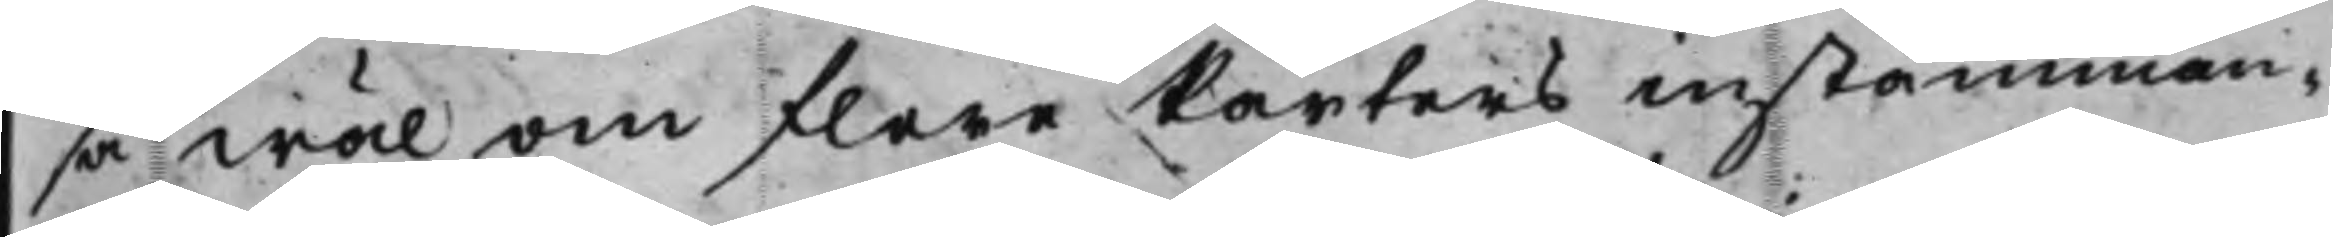så wäl om flere Parters instämman¬
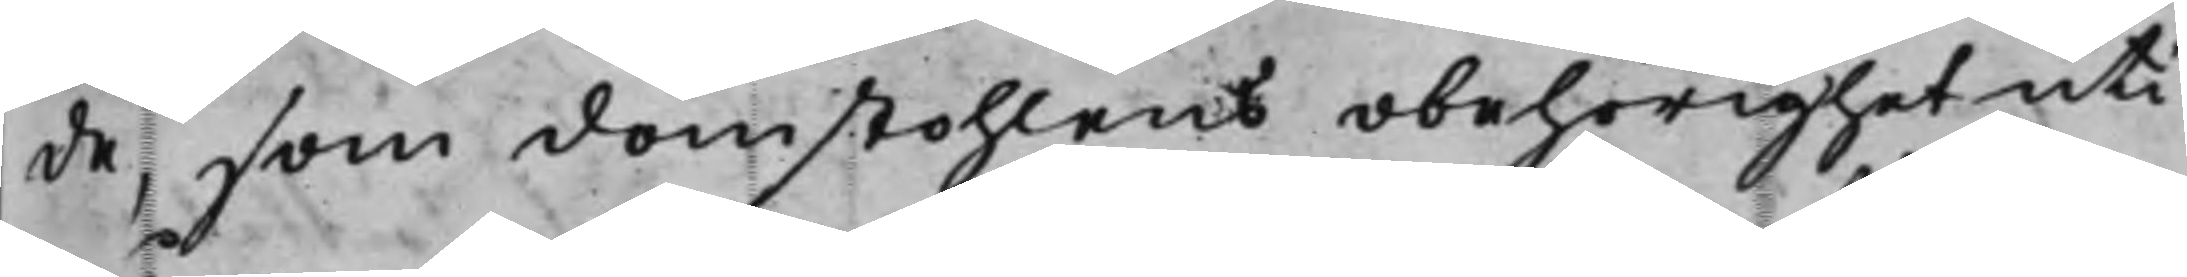de, som domstohlens obehörighet uti
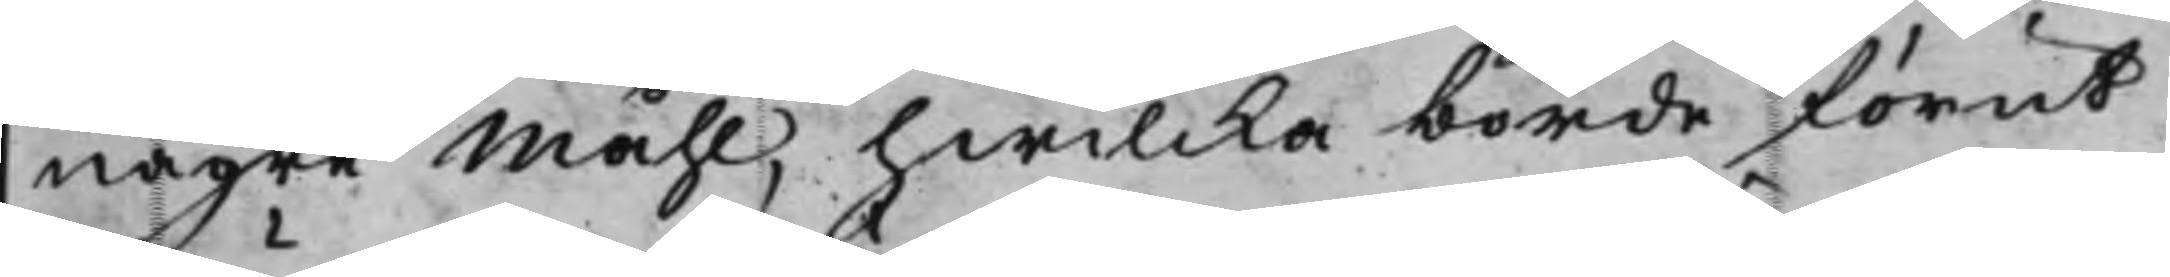någre Måhl, hwilcka borde förut
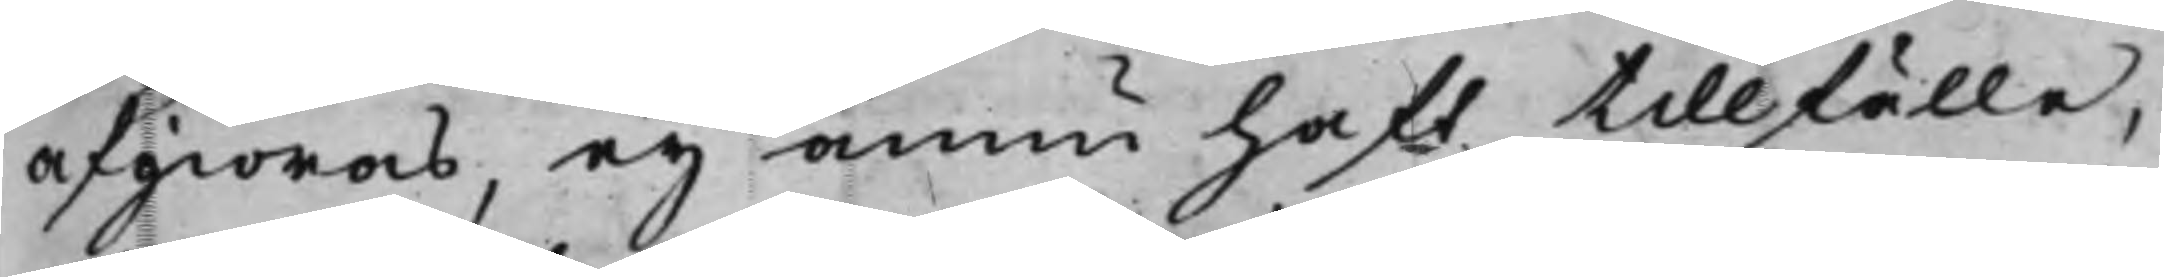afgiöras, ey ännu haft tillfälle
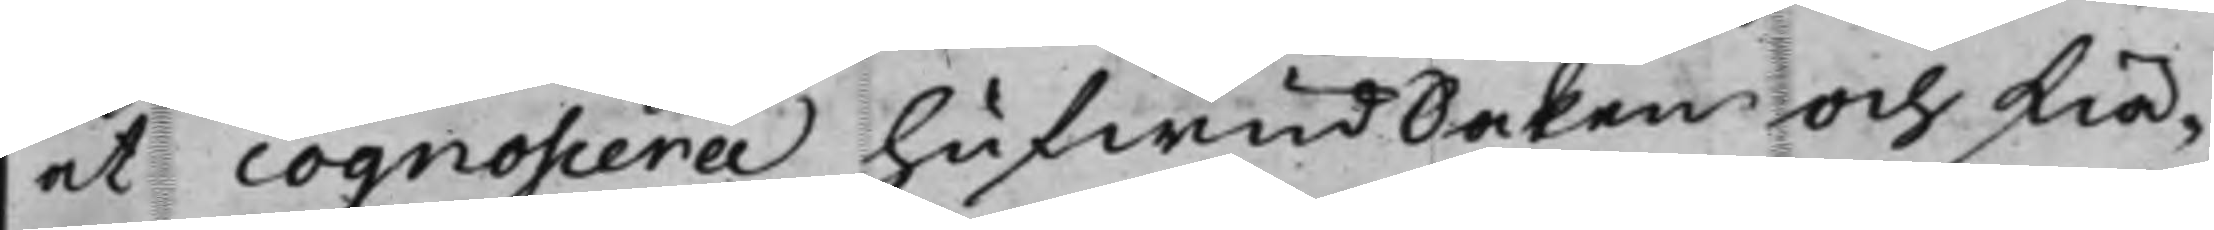at cognoscera hufwudsaken och skiä¬
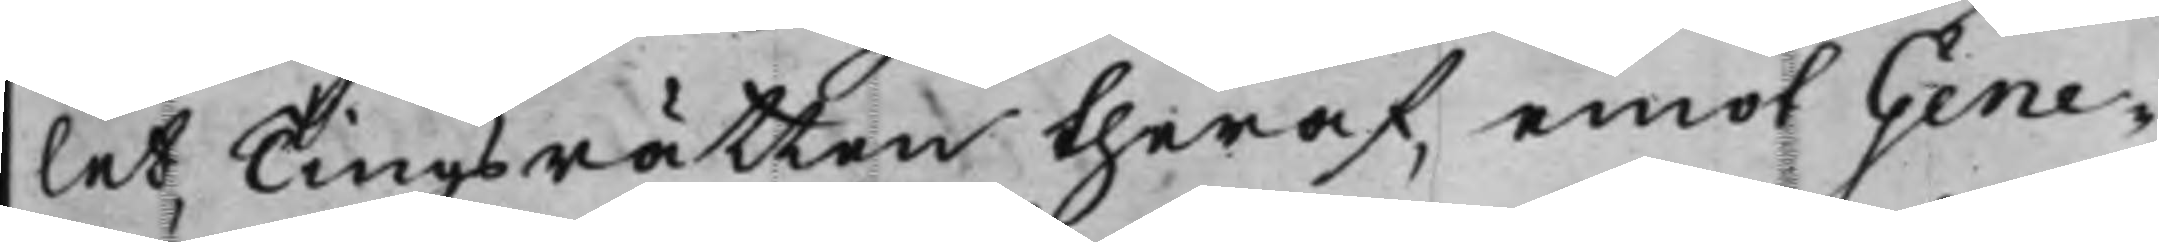let Tingsrätten theraf, emot Gene¬
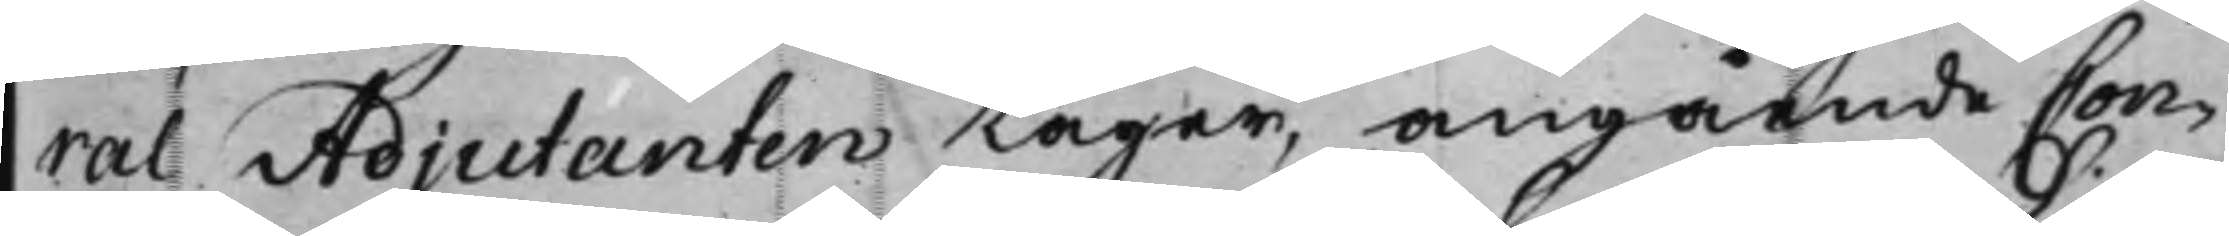ral Adjutanten tager, angående Con¬
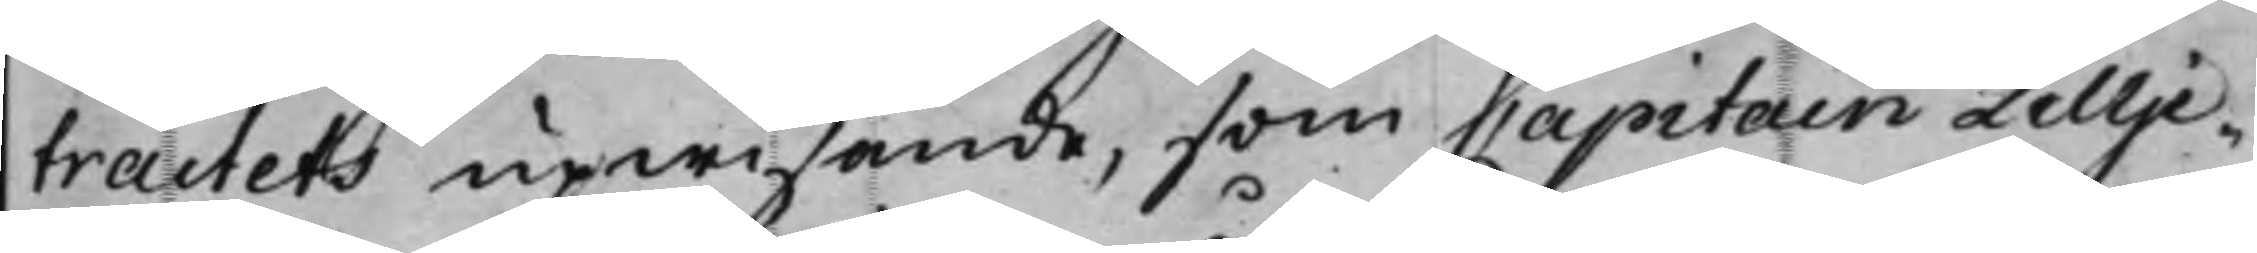tractets upwisande, som Capitain Lillje¬
